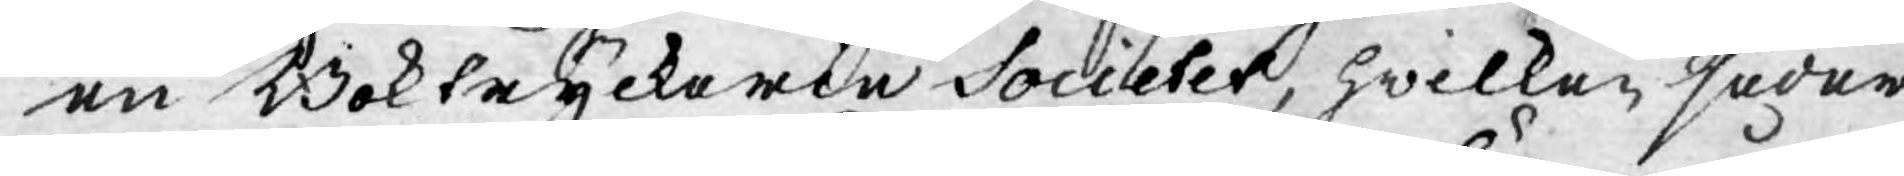en Boktryckerie Societet, hwilken seder¬
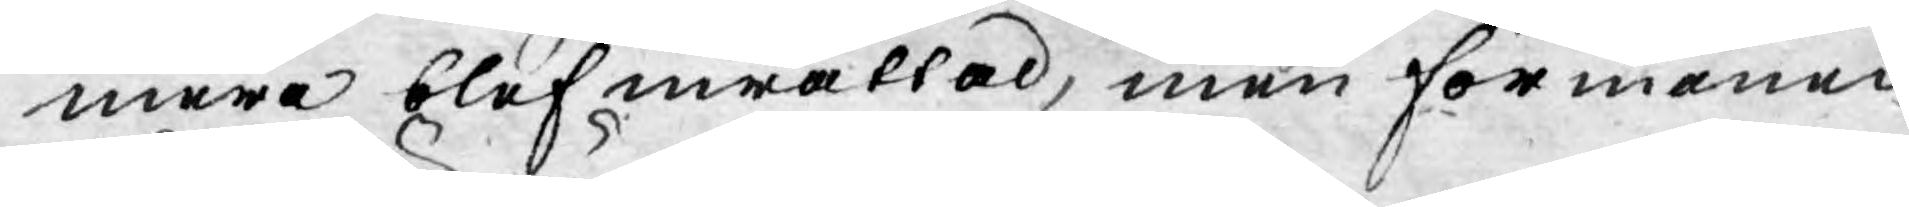mera blef inrättad, men förmånen
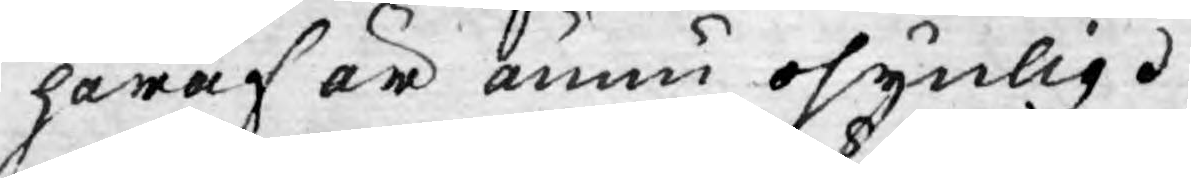häraf är ännu osynlig.
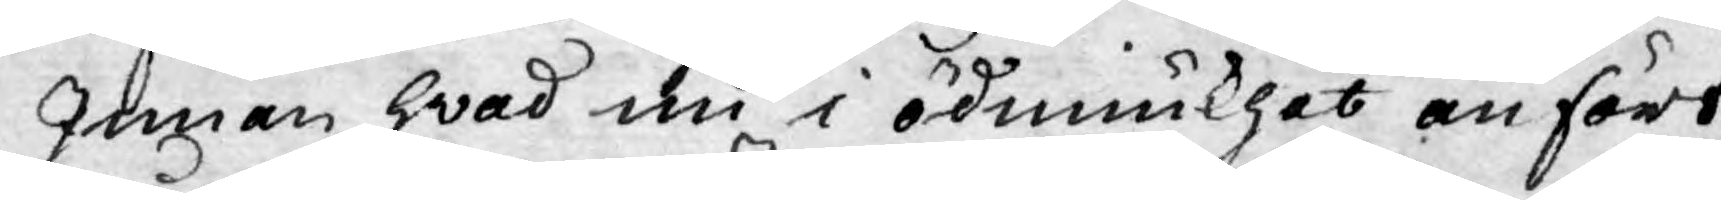Innan hwad nu i ödmiukhet anfört
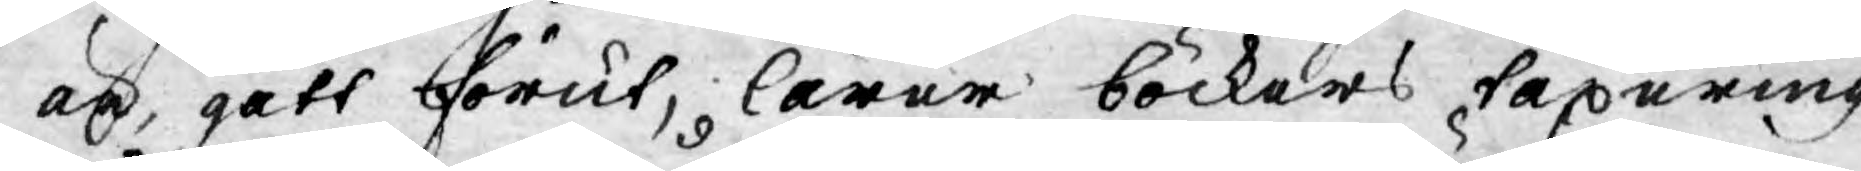är, gått förut, lärer böckers taxering
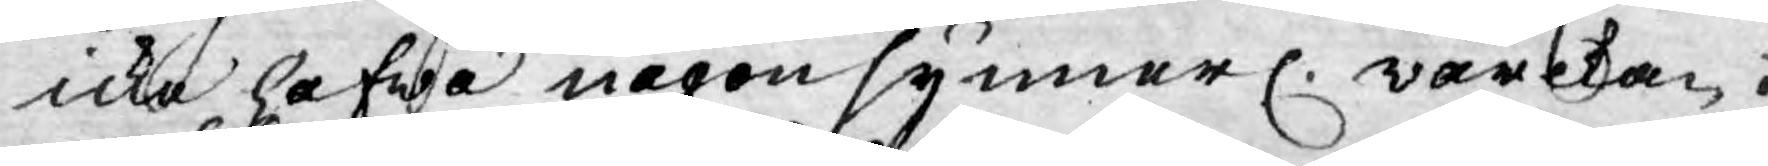icke hafwa någon synnerl. wärkan.
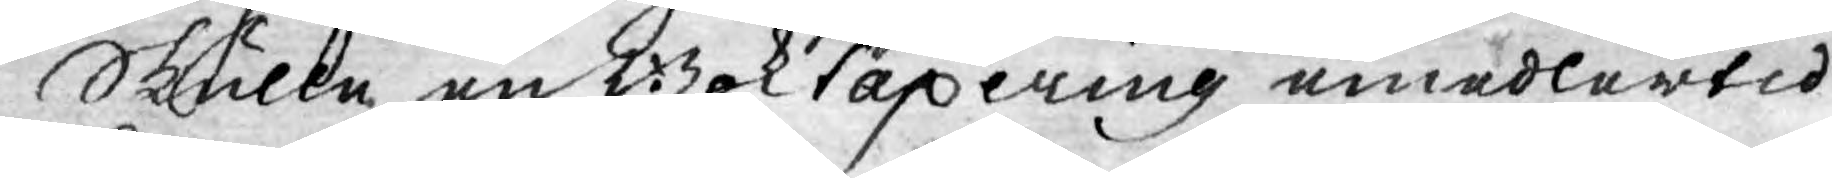Skulle en Boktaxering emedlertid
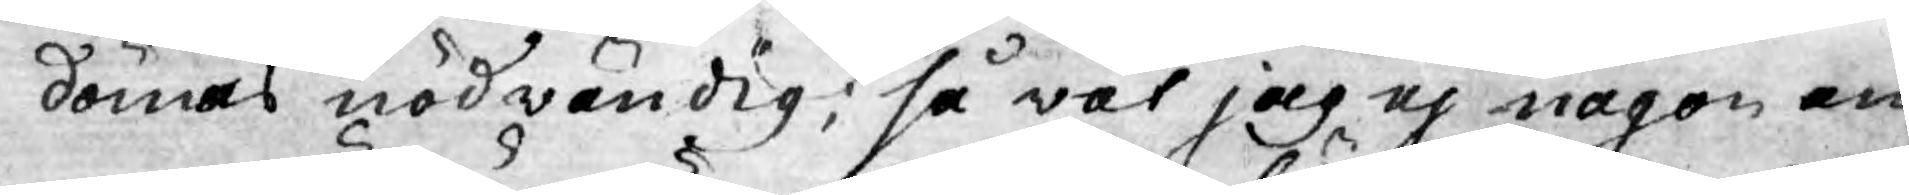dömas nödwändig; så vet jag ej någon an¬
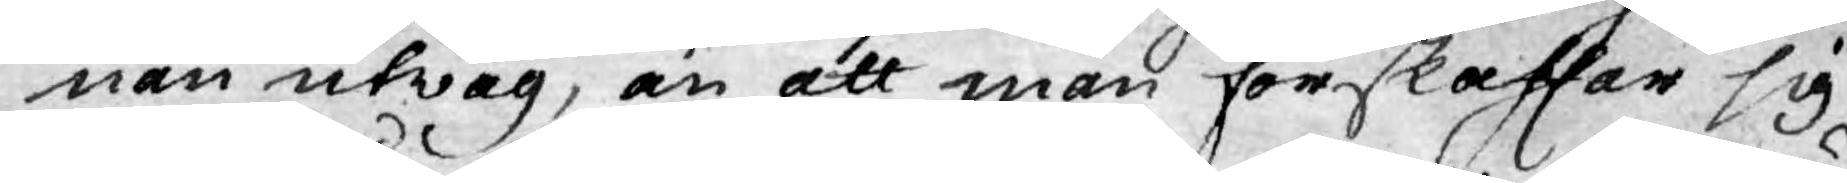nan utwäg, än att man förskaffar sig
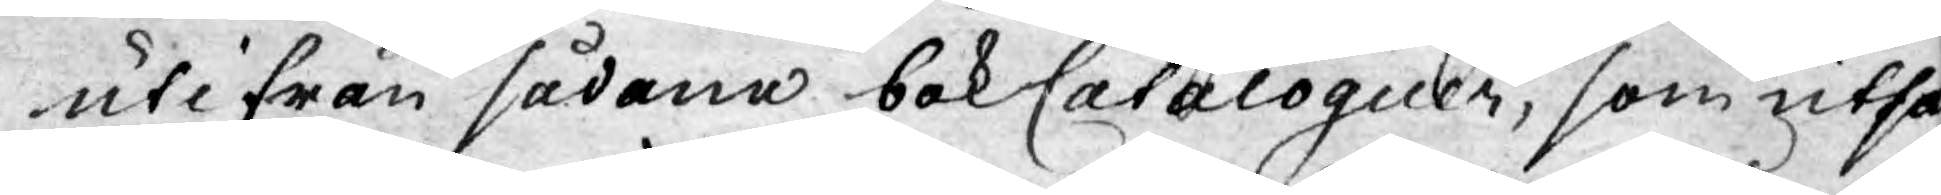utifrån sådana bokCataloguer, som utsät¬
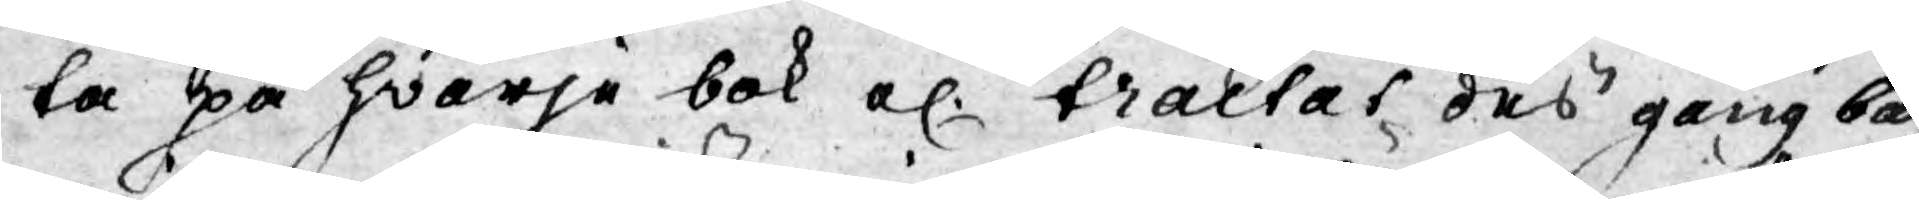ta på hwarje bok el. traktat dess gångba
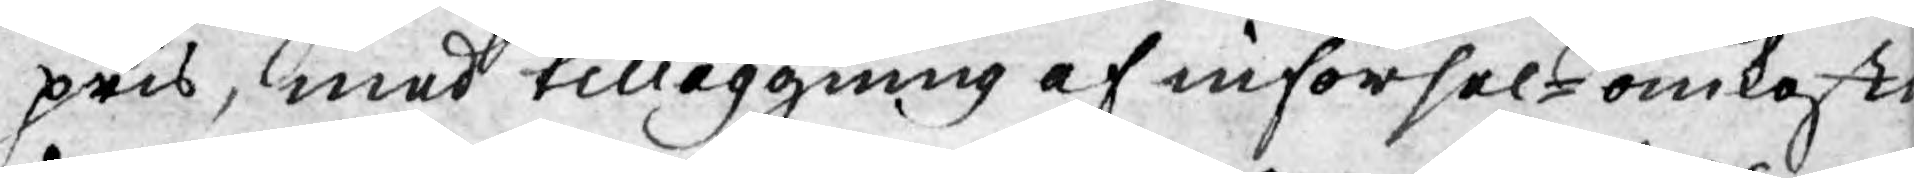pris, med tilläggning af införsel-omkostna¬
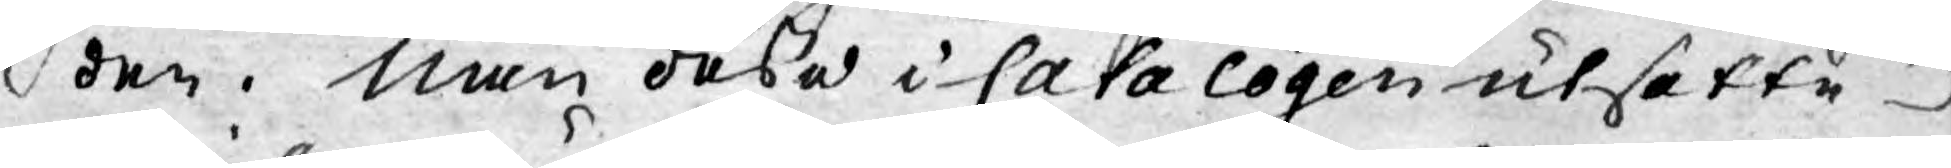den. Men dessa i Catalogen utsatte
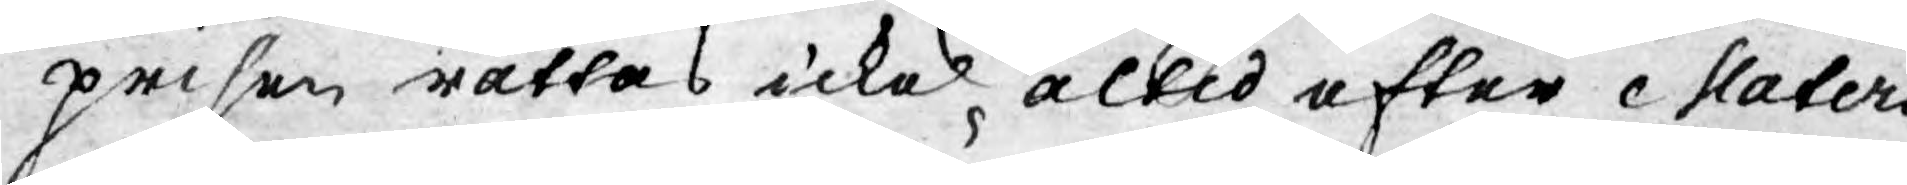priser rättas icke altid efter statens
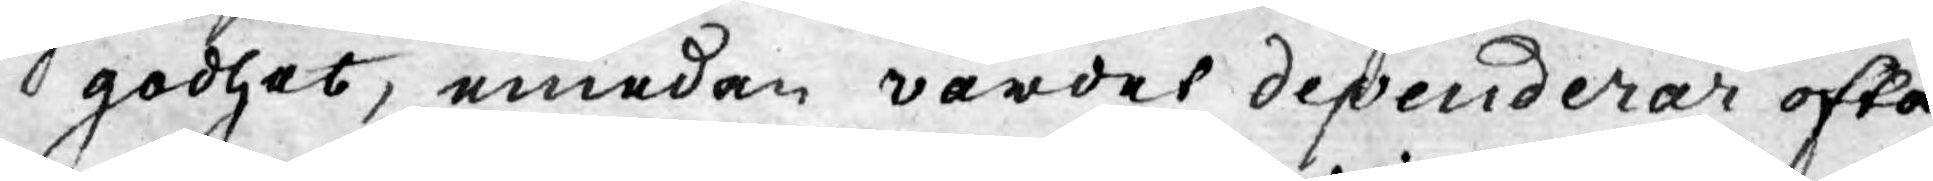godhet, emedan wärdet dependerar ofta
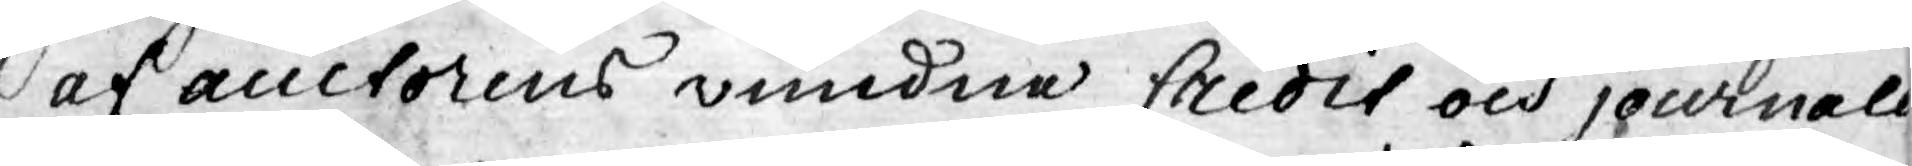af auctorens vundne Credit och journaler¬
